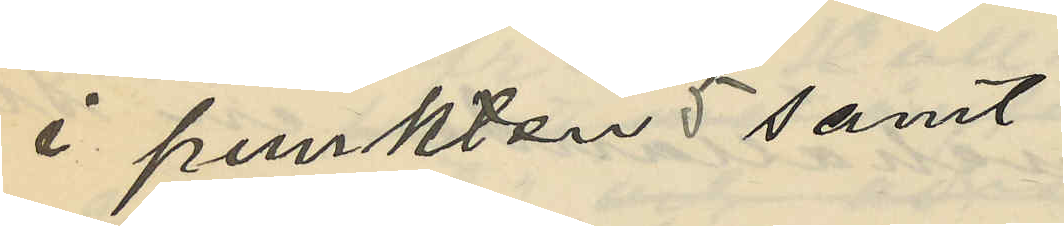i punkten 5 samt
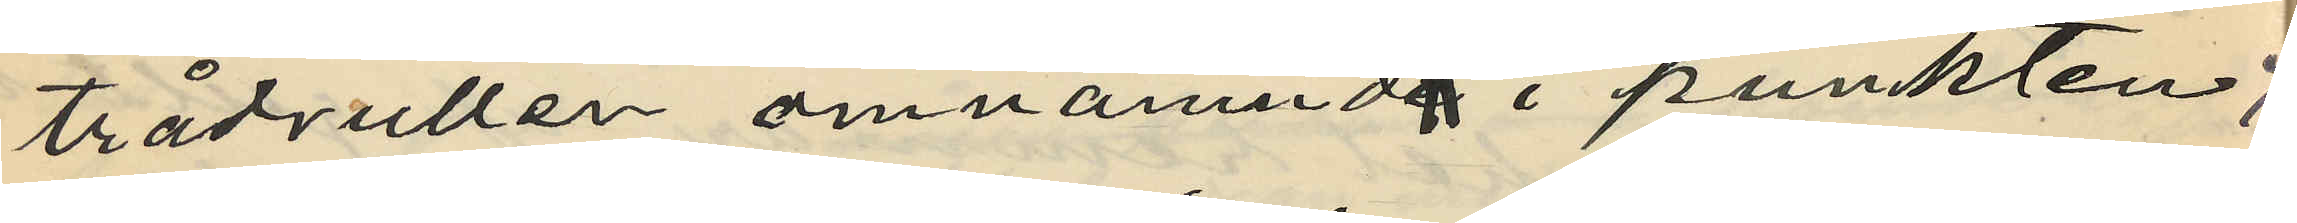trådrullen omnämnda i punkten 7;
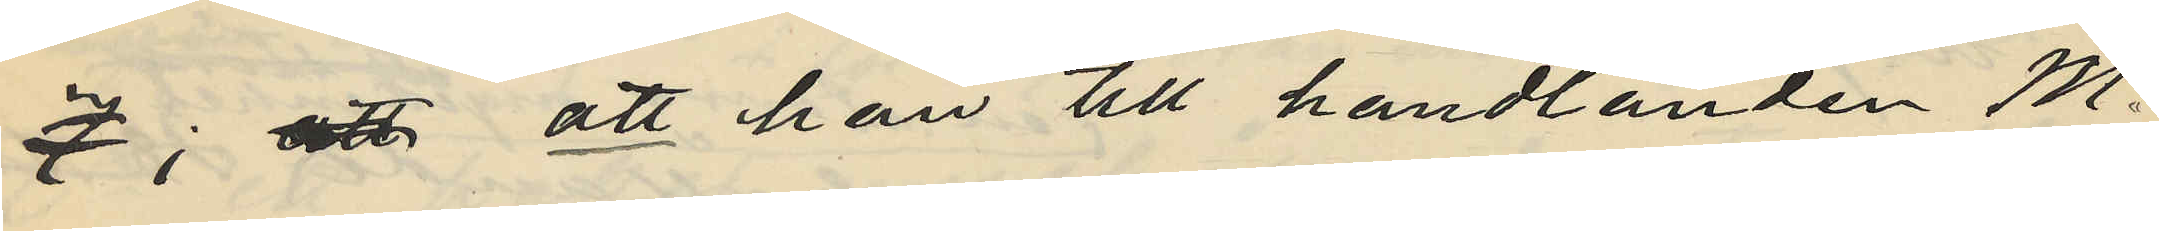7; att att han till handlanden M.
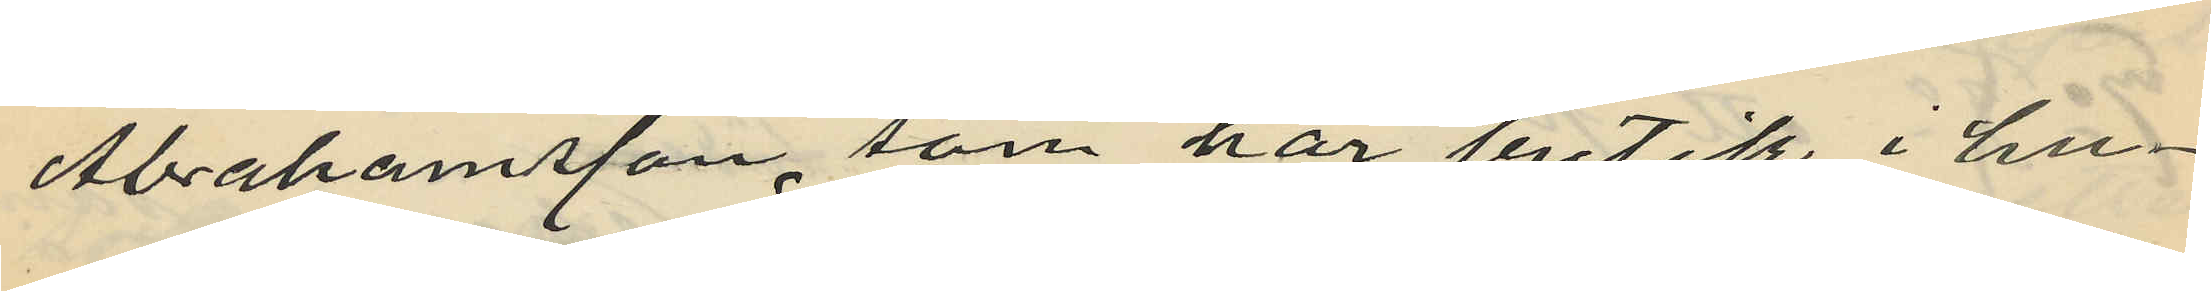Abrahamsson, som har butik i hu¬
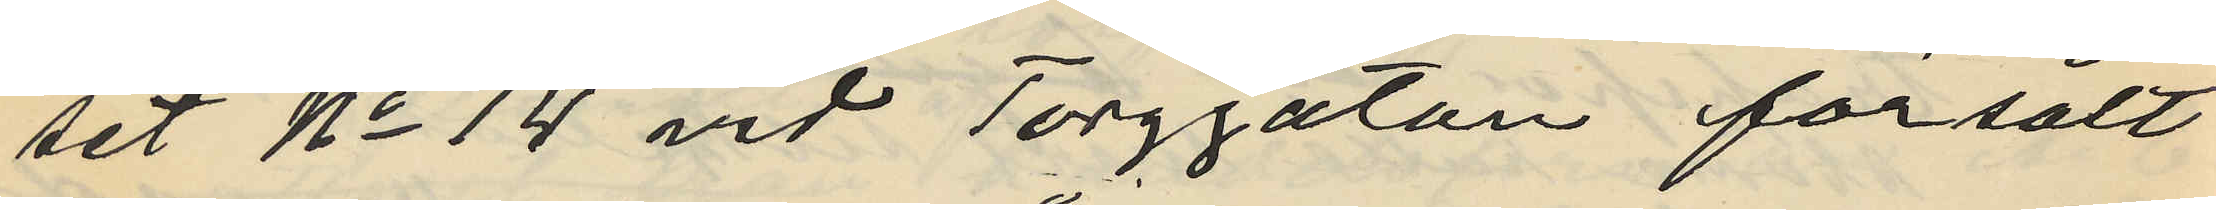set No 14 vid Torggatan försålt
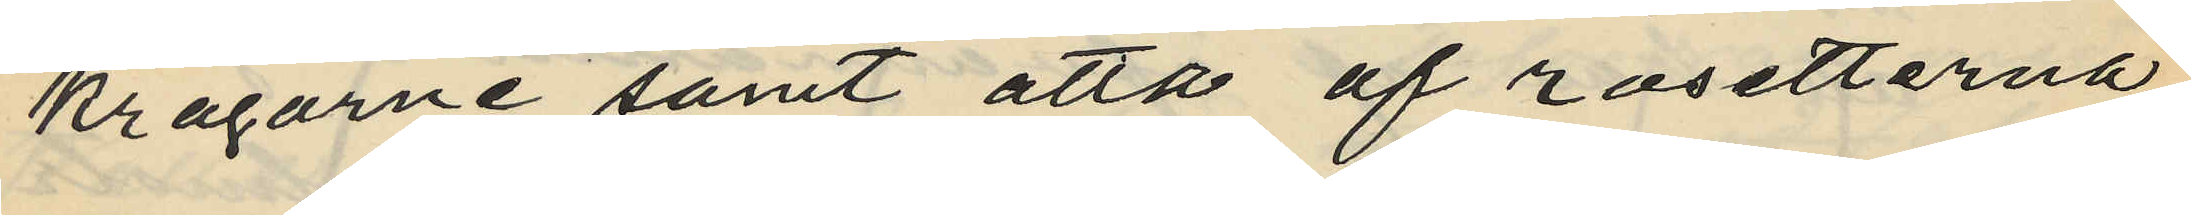kragarne samt åtta af rosetterna
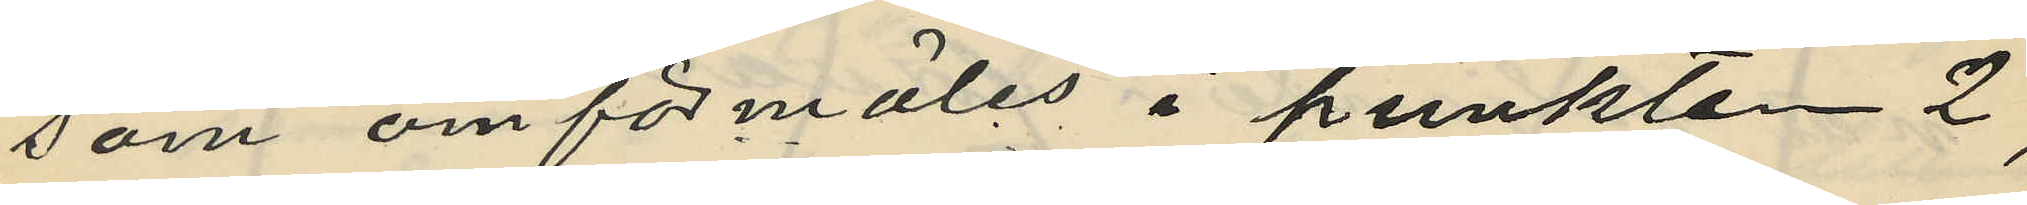som omförmäles i punkten 2,
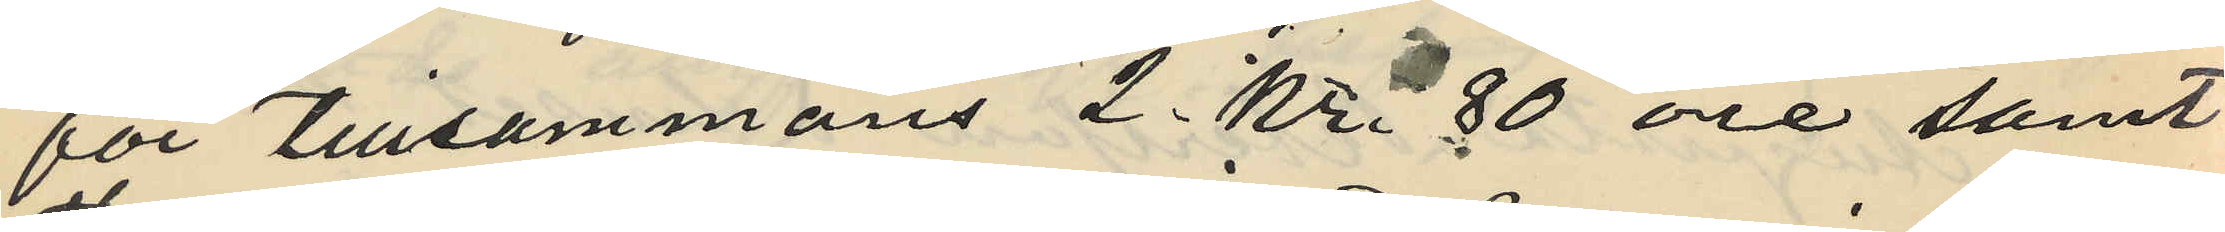för tillsammans 2 Kr. 80 öre samt
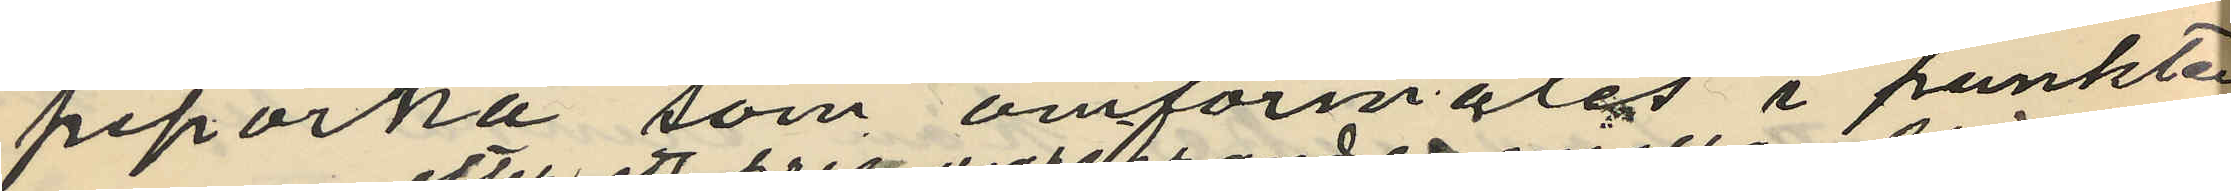piporna som omförmäles i punkten
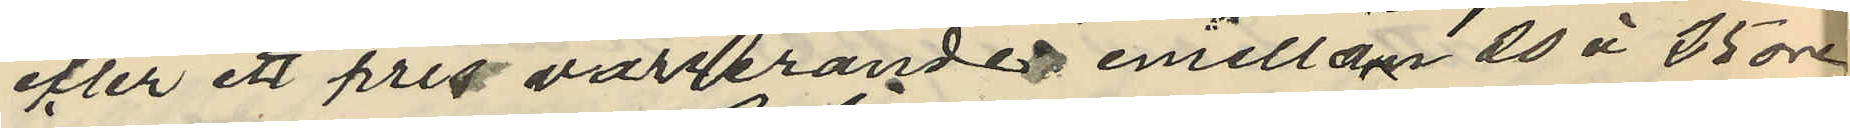efter ett pris varierande emellan 20 à 35 öre
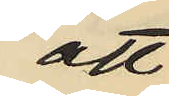att
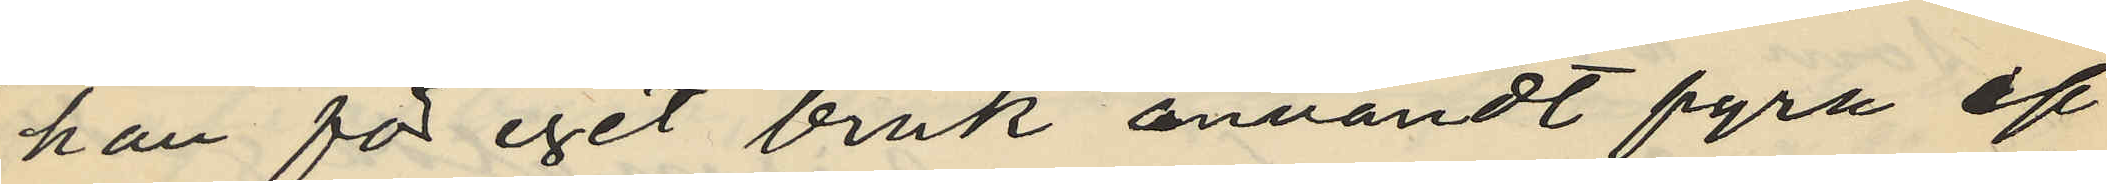han för eget bruk användt fyra af
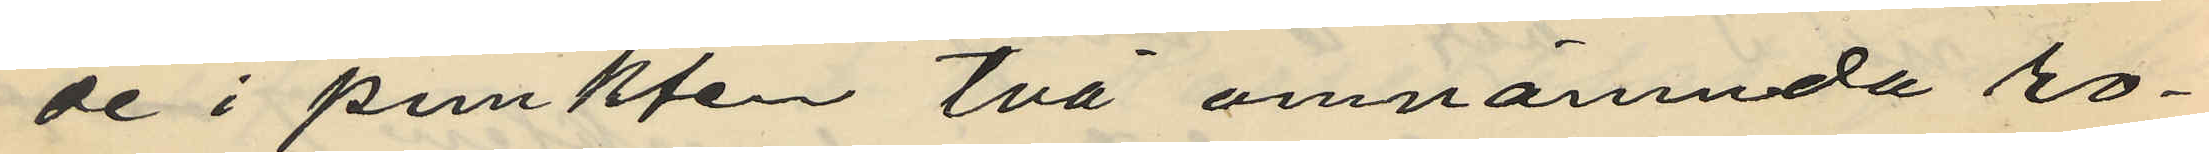de i punkten två omnämnda ro¬
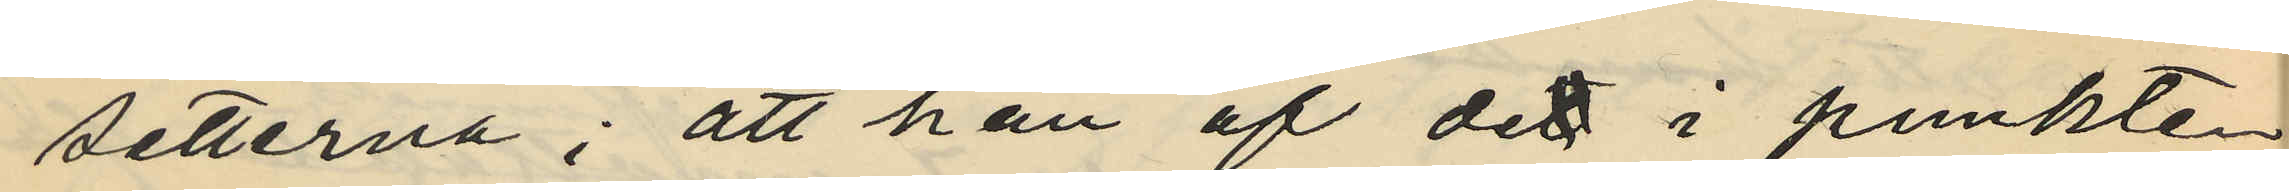setterna; att han af det i punkten
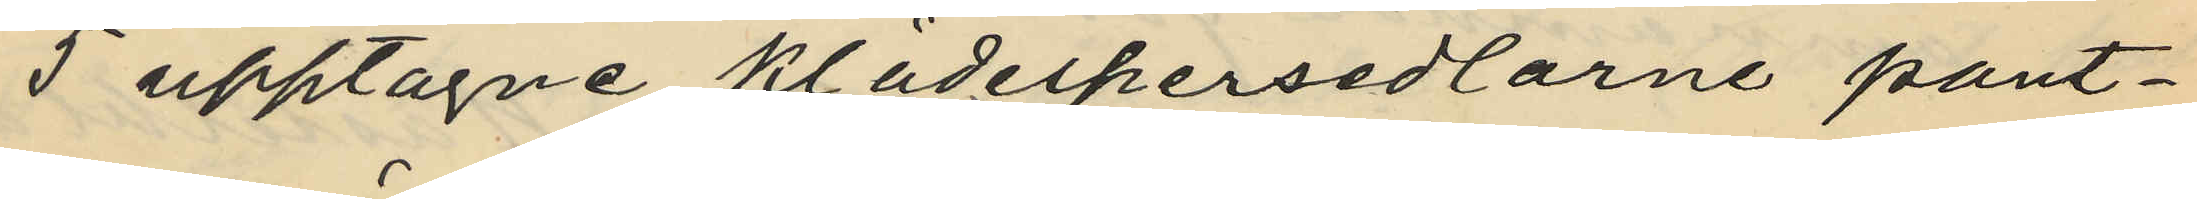5 upptagne klädespersedlarne pant¬
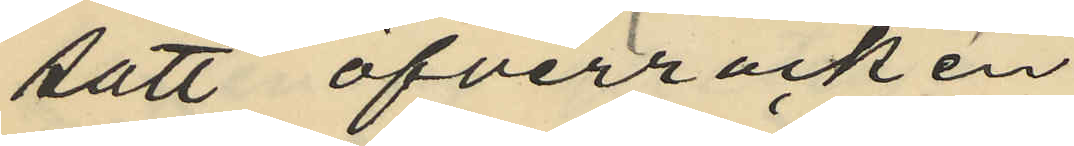satt öfverrocken
